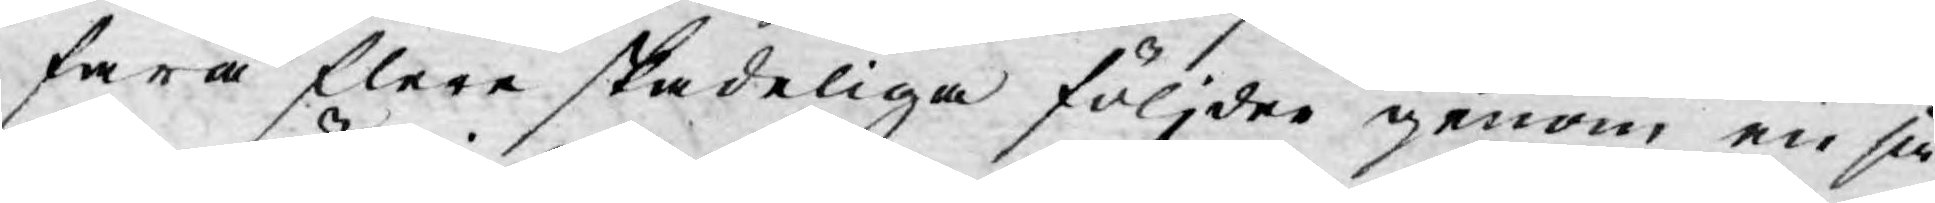fara flere skadeliga följder genom en så¬
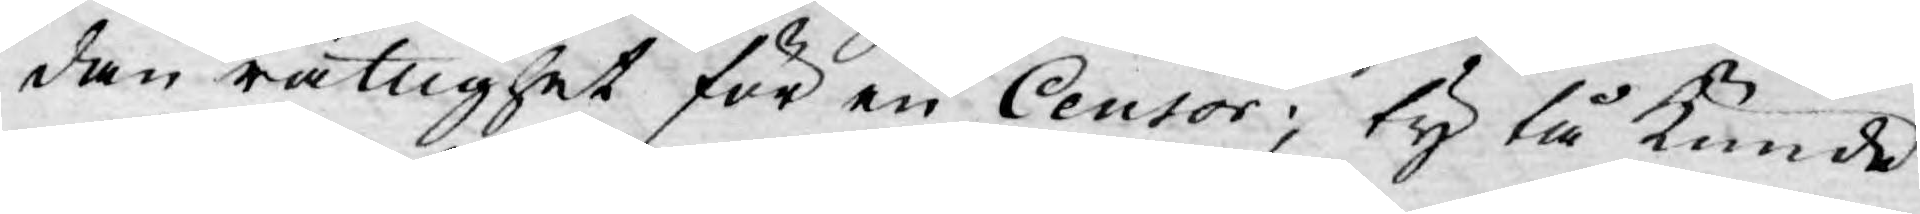dan rättighet för en Censor; ty tå kunde
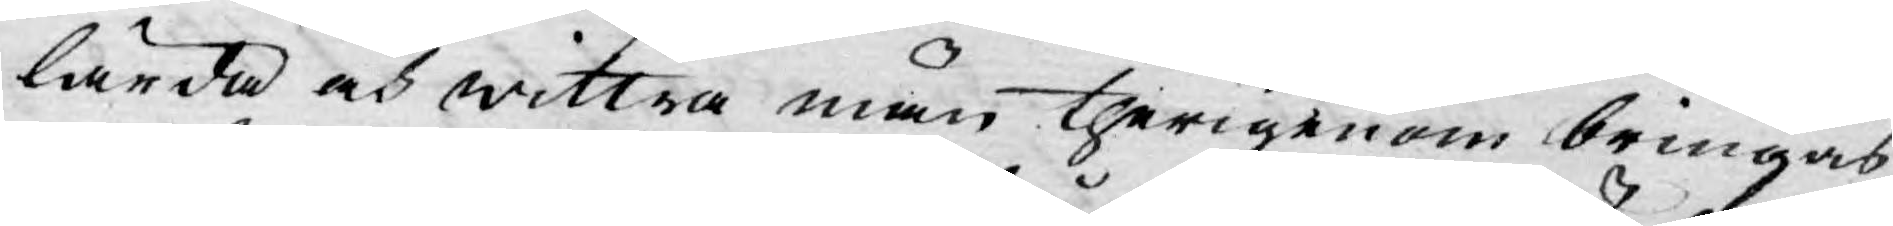lärda och wittra män therigenom bringas
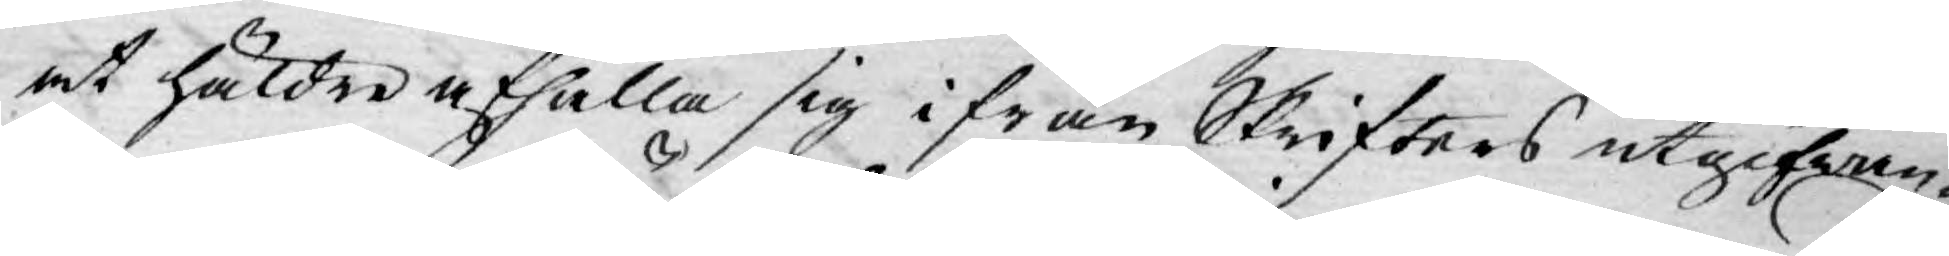at häldre afhålla sig ifrån Skrifters utgifwan¬
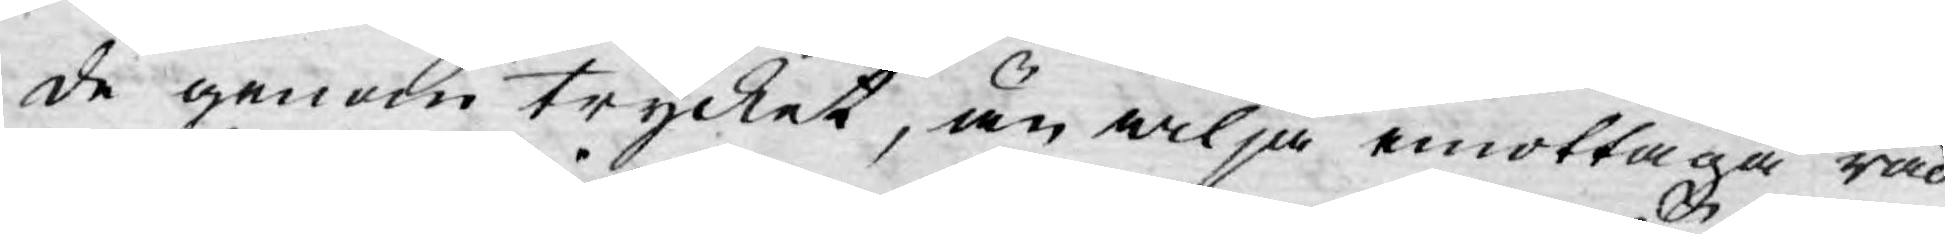de genom trycket, än wilja emottaga råd
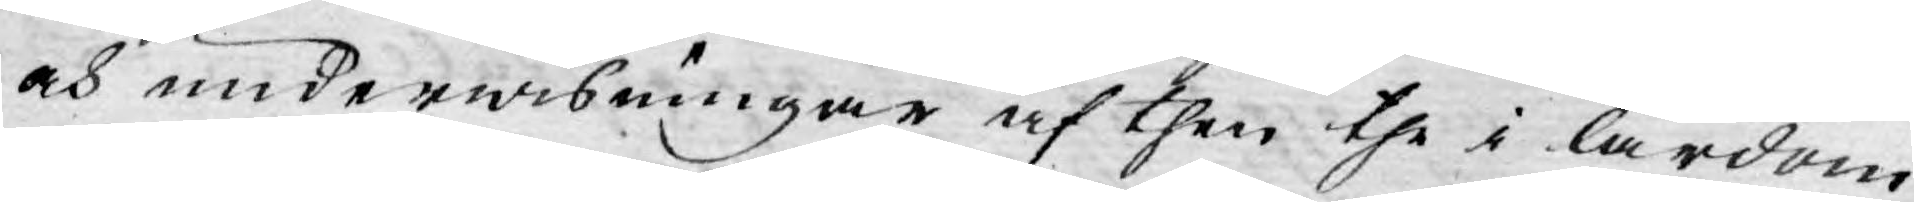och underwisningar af then the i lärdom
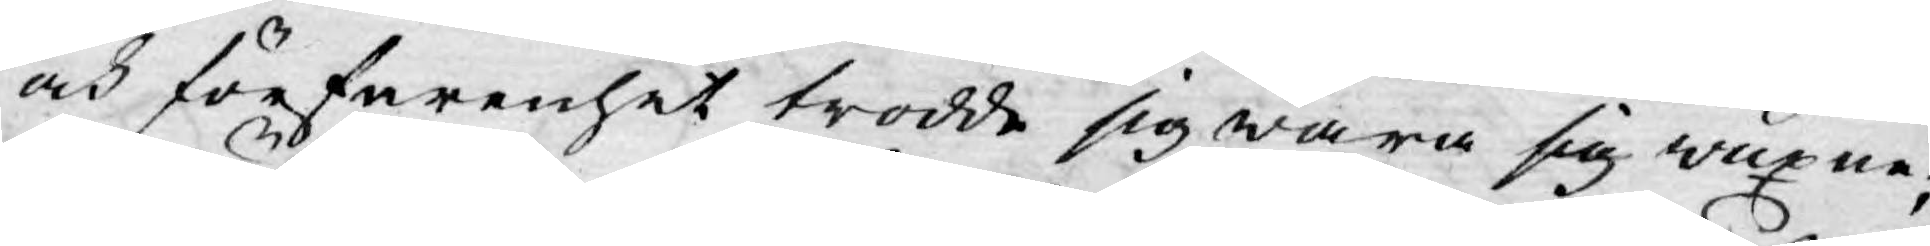och förfarenhet trodde sig wara sig wuxne,
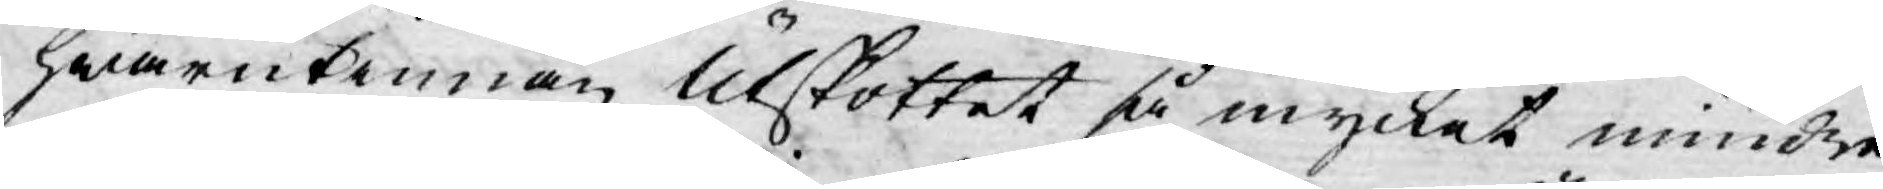hwarutinnan Utskottet så mycket mindre
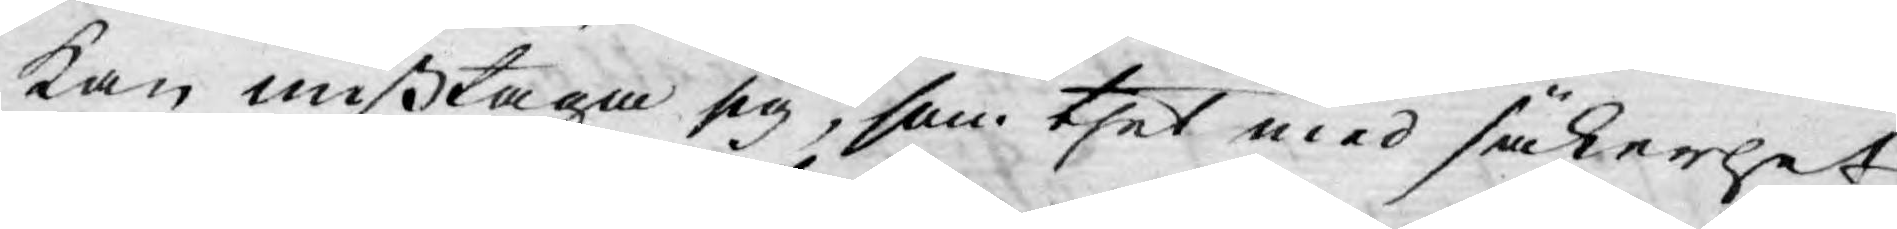kan mißtaga sig, som thet med säkerhet
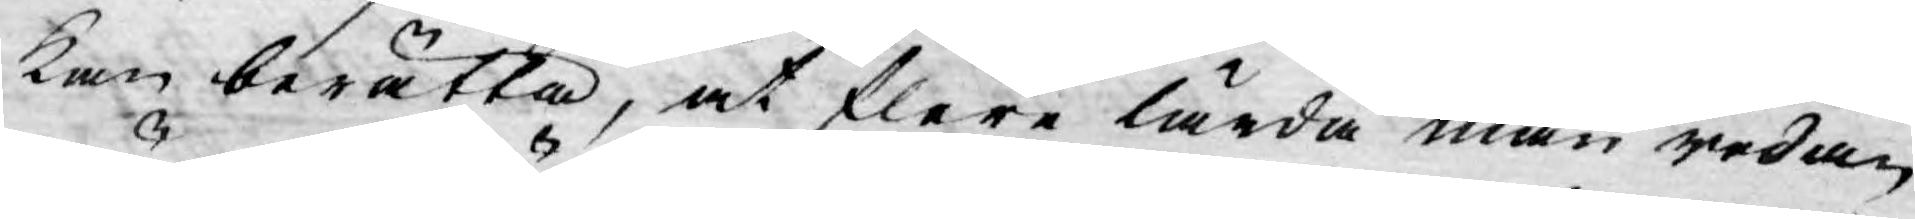kan berätta, at flere lärda män redan
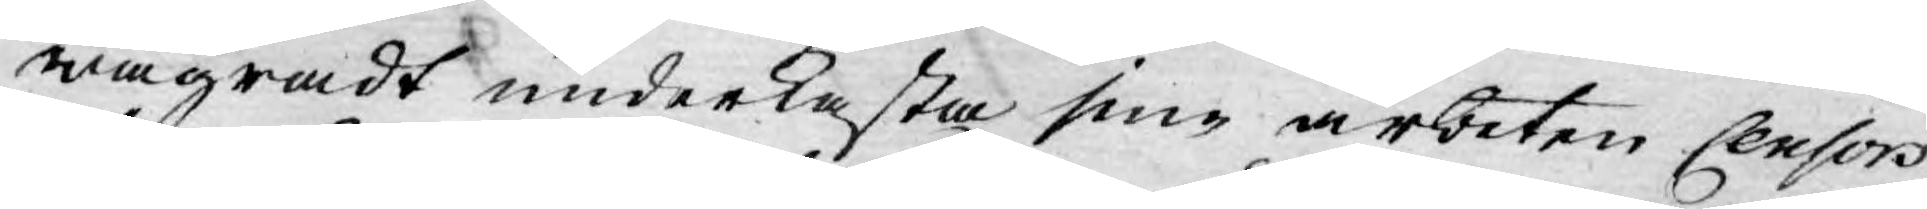wägradt underkasta sine arbeten Censors
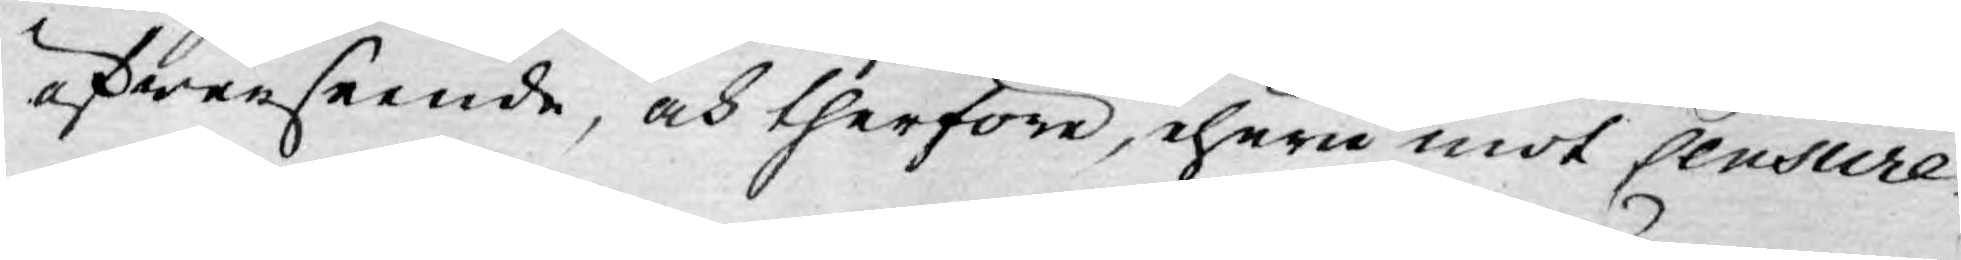öfwerseende, och therföre, ehuru mot Censure¬
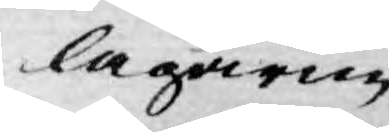lagarne
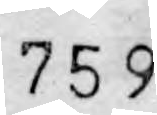759
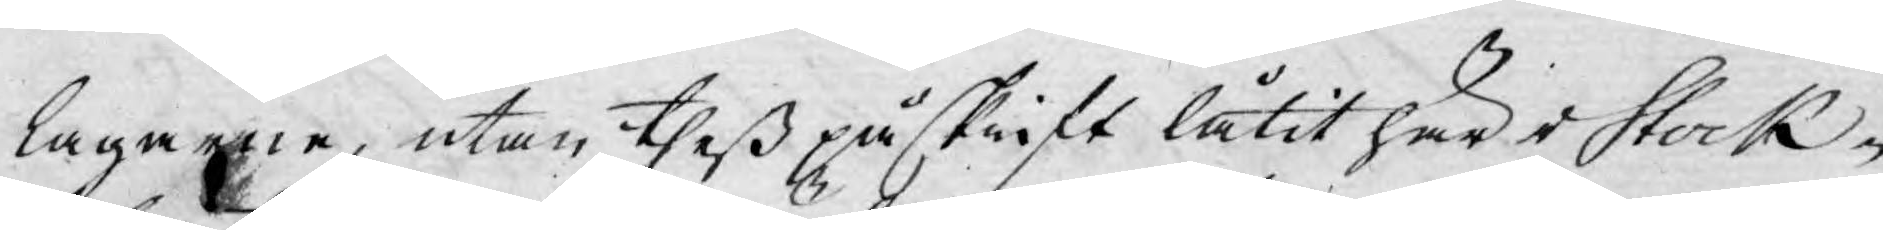lagarne, utan theß påskrift låtit här i Stock¬
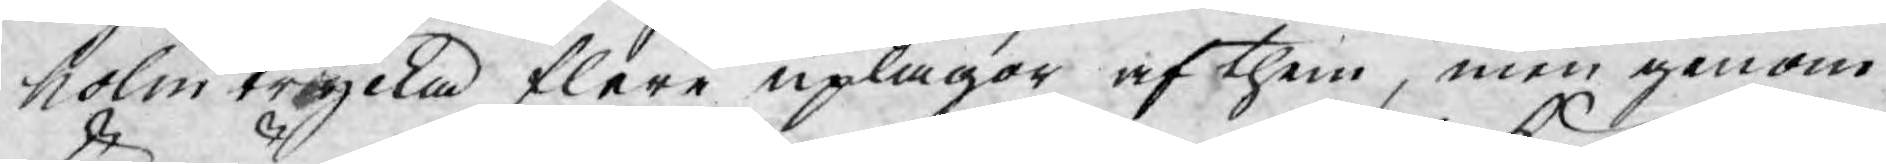holm trycka flere uplagor af them, men genom
